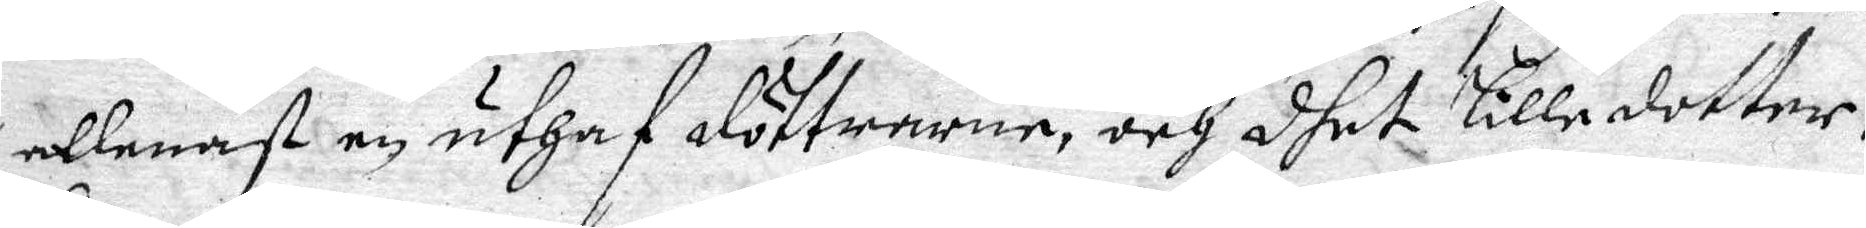allenast en uthaf döttrarne, och dhet lille dotter¬
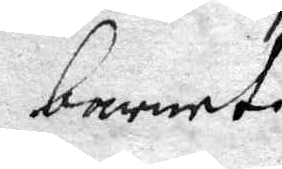barnet.
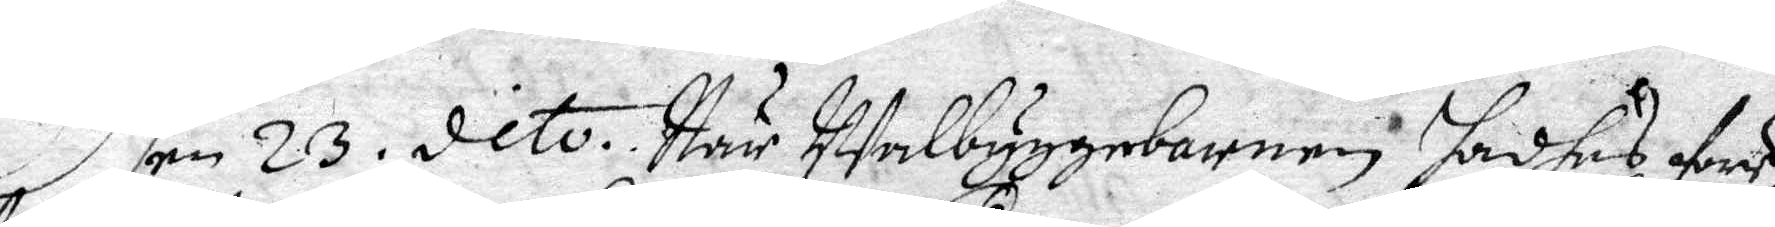Dhen 23 dito. När Walbyggebarnen hadhes före
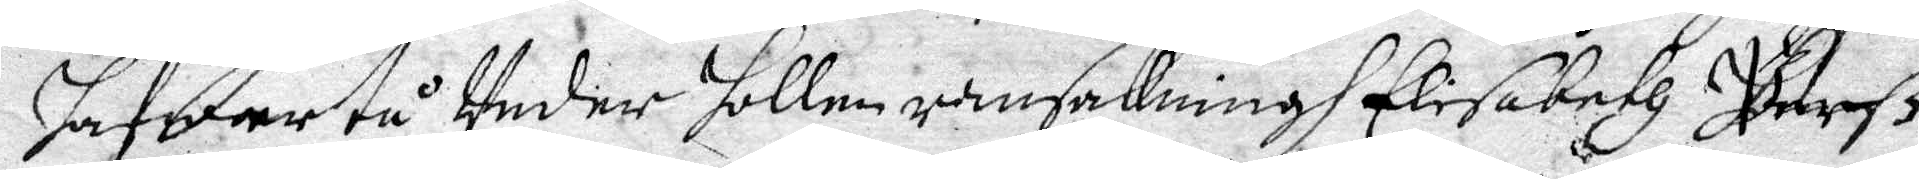hafwer tå Under hollen ransakningh Elisabeth Berß
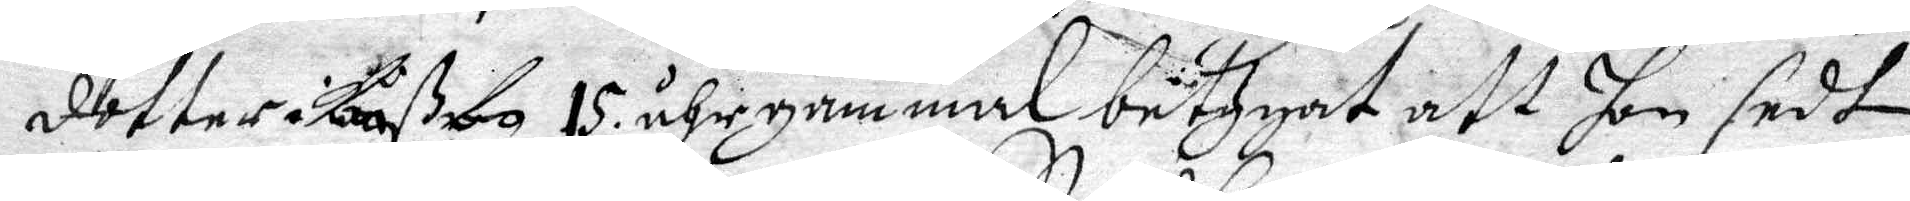dotter i Låßbo 15 årh gammal betygat att hon sedt
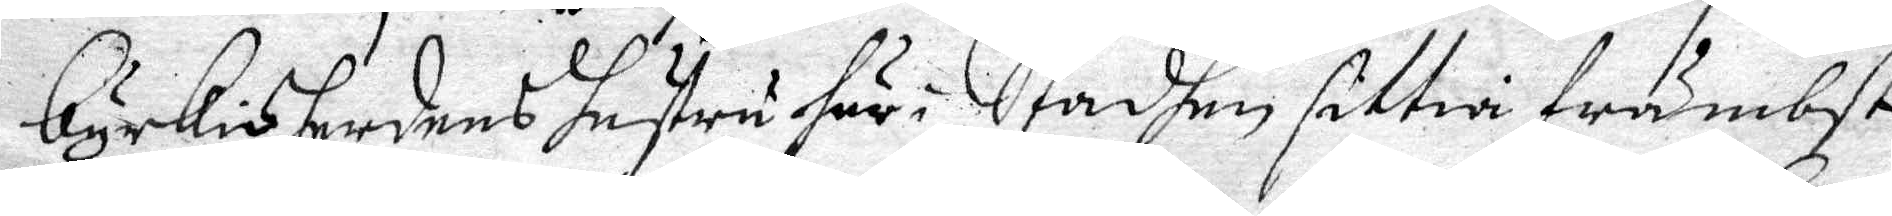Kyrkioherdens hustru här i Stadhen sittia främbst
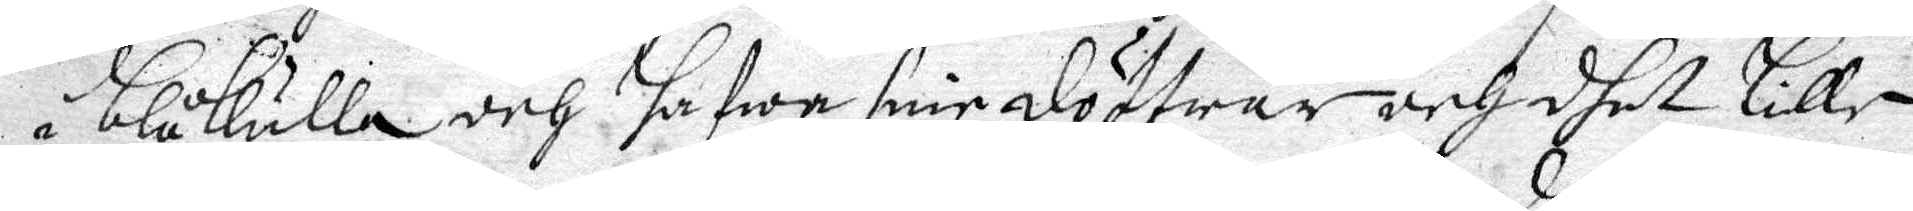i blåkulla och hafwa sine döttrar och dhet lille
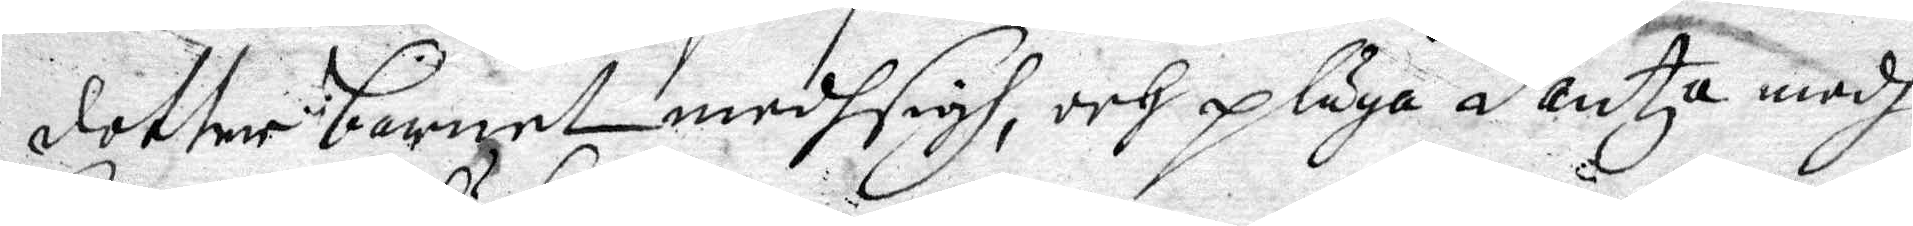dotter barnet medh sigh, och pläga dantza medh
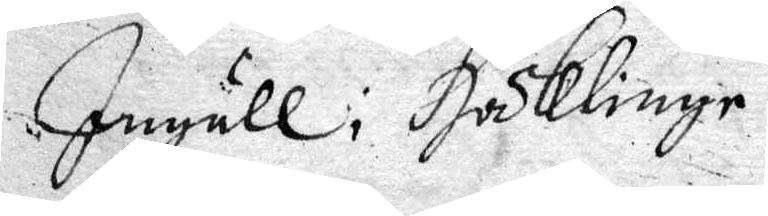Ingäll i Häklinge.
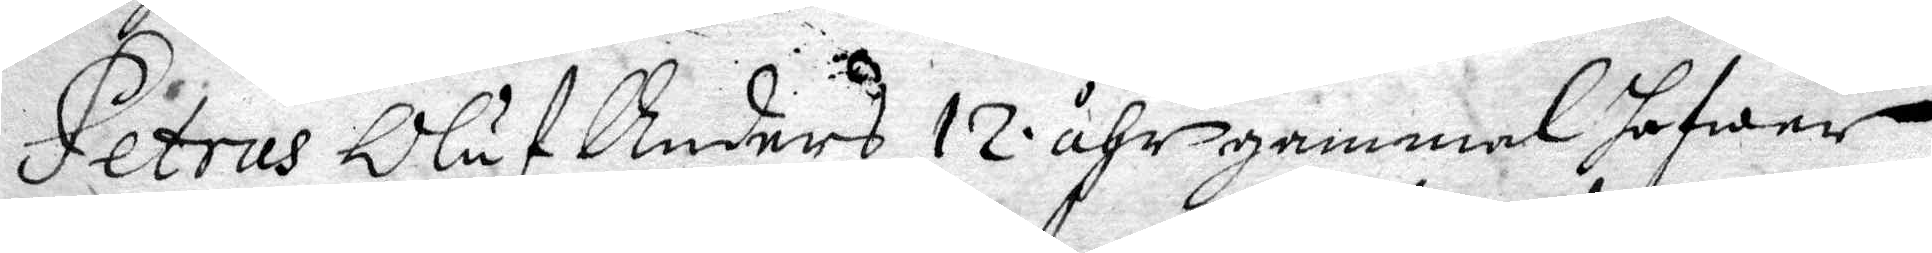Petrus Oluf Anders 12 åhr gammal hafwer
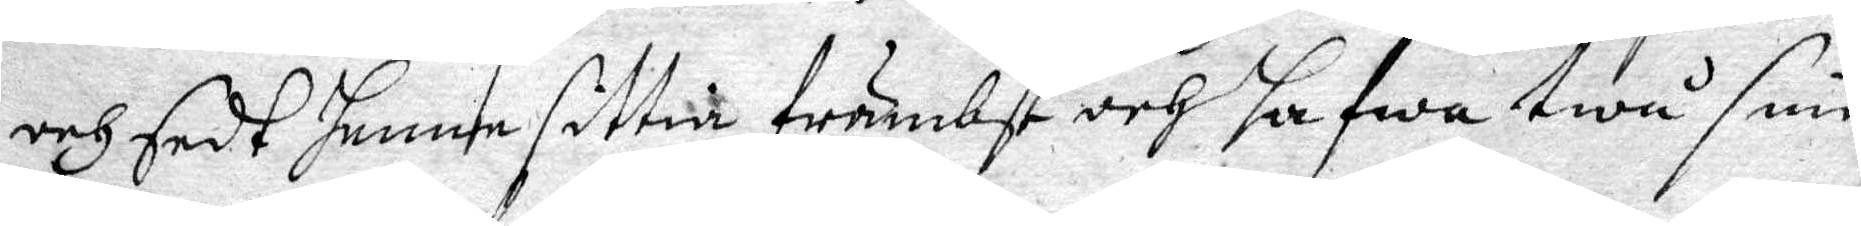och sedt henne sittia främbst och hafwa twå sine
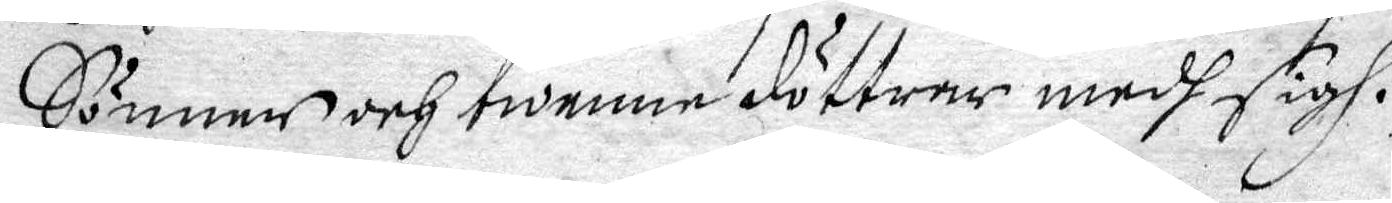Sönner och twenne döttrar medh sigh.
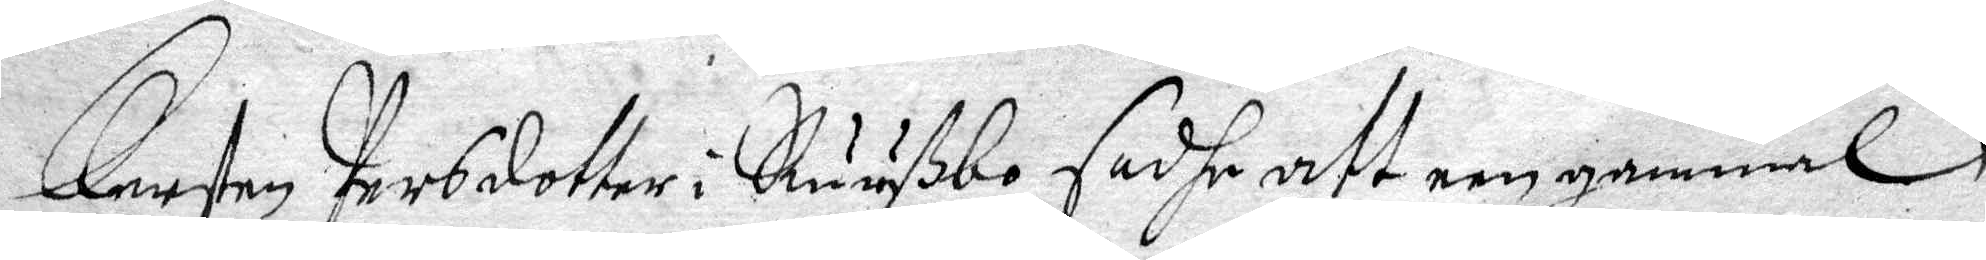Kersten Persdotter i Ruußbo sadhe att een gammal
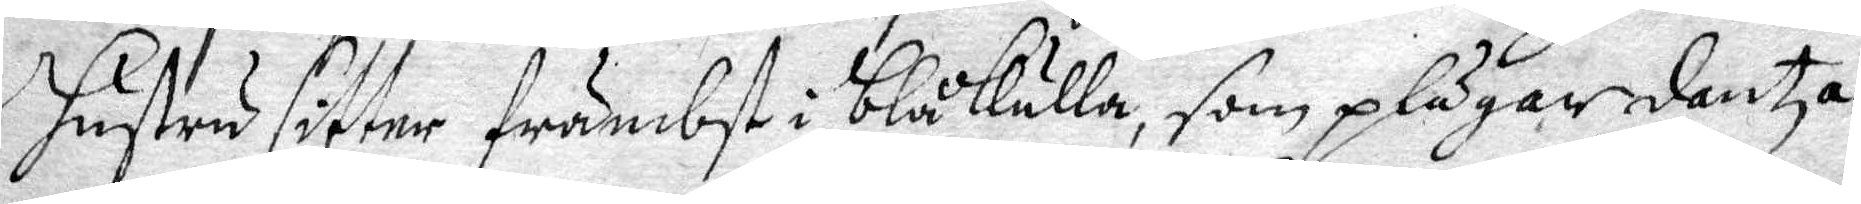hustru sitter främbst i blåkulla som plägar dantza
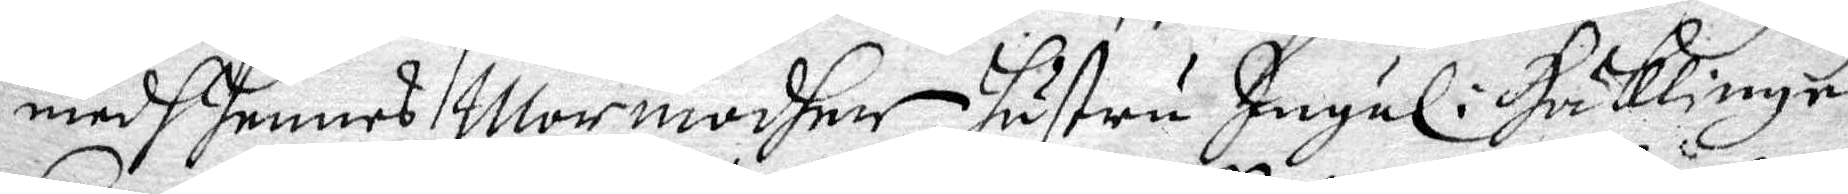med hennes Mormodhet hustru Ingäl i Häklinge.
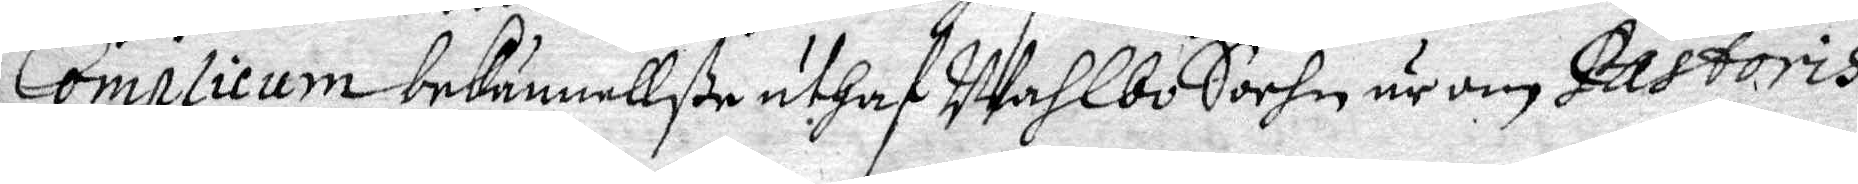Coplicum bekännellße uthaf Wahlbo Sockn är om Pastoris
